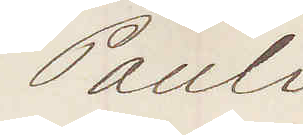Pauli
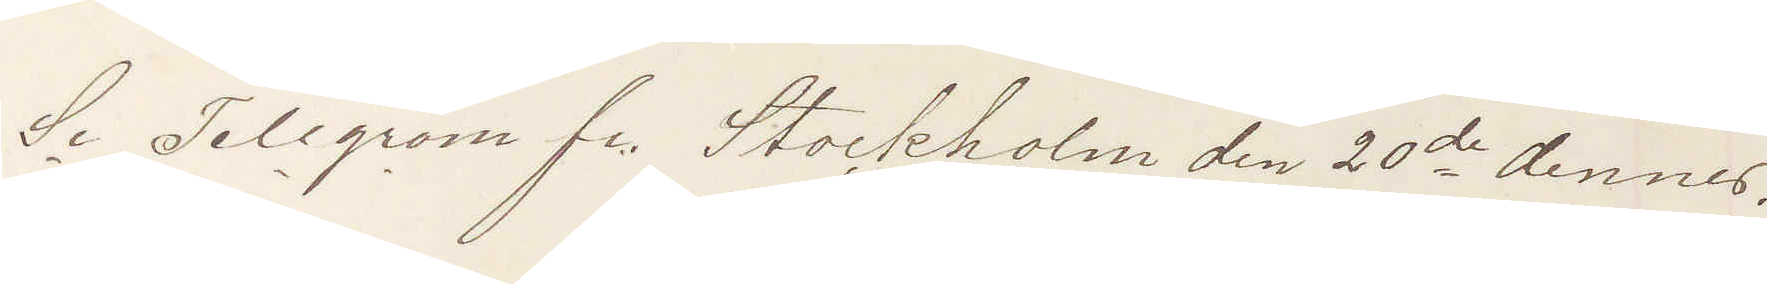Se Telegram fr. Stockholm den 20de dennes.
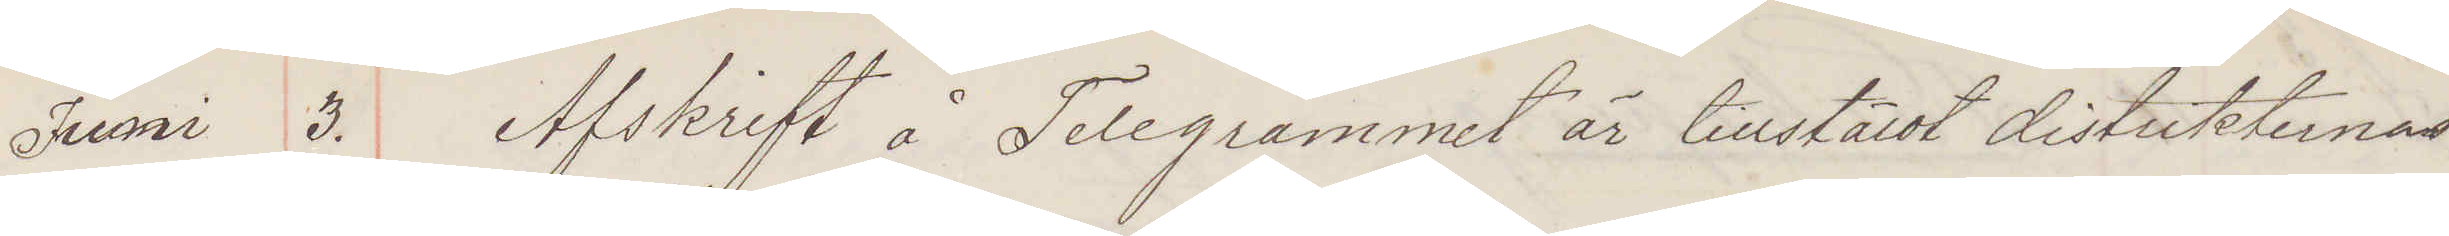Juni 3. Afskrift å Telegrammet är tillstäldt distrikternas
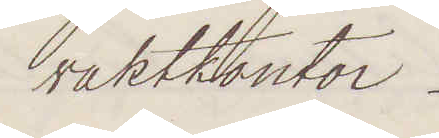vaktkontor.
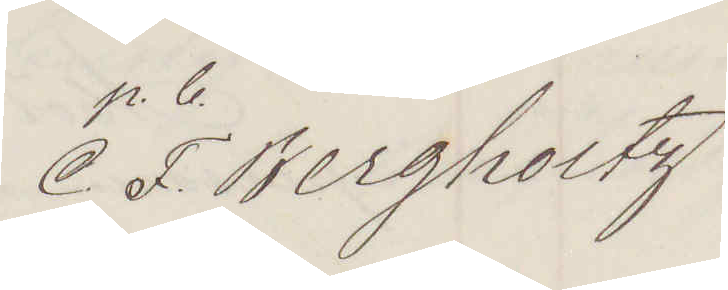C. F. Bergholtz
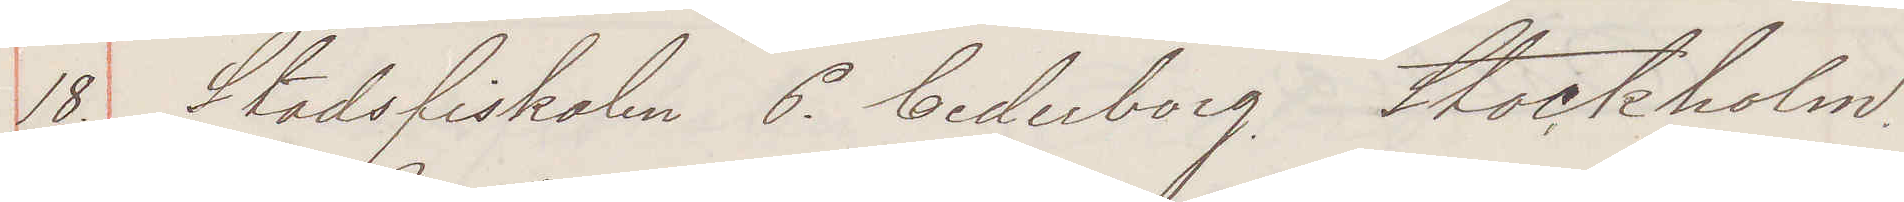18. Stadsfiskalen P Cederborg Stockholm
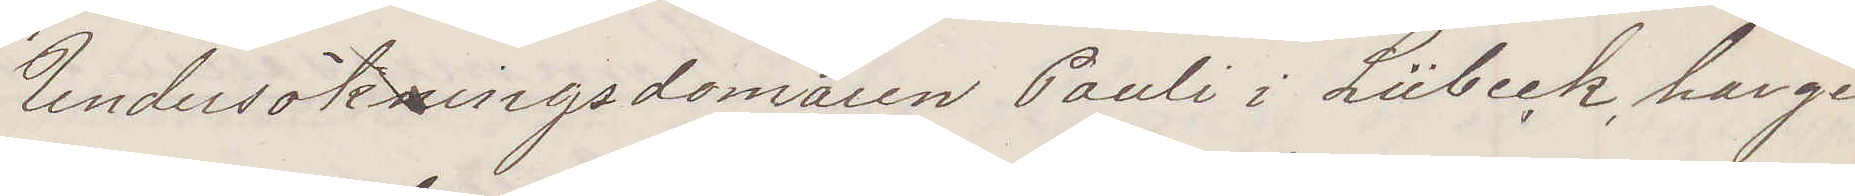Undersökningsdomaren Pauli i Lübeck har ge¬
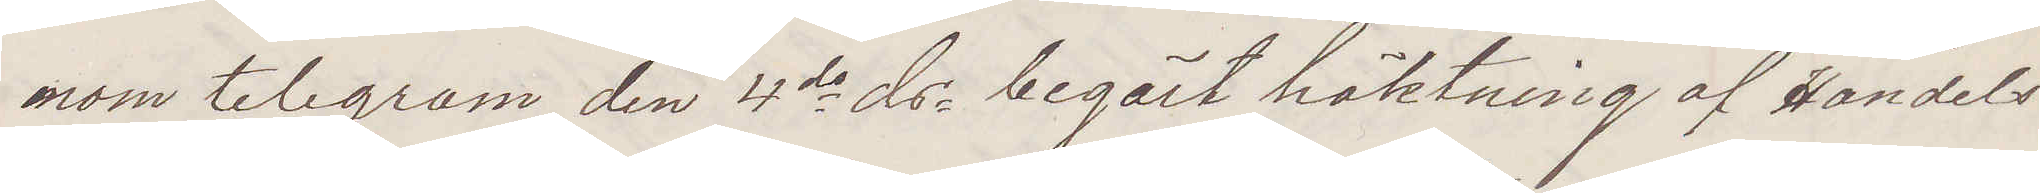nom telegram den 4de ds begärt häktning af Handels¬
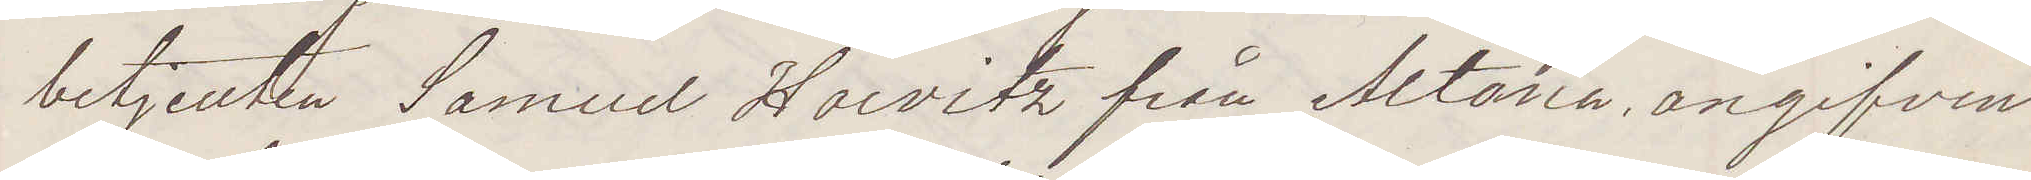betjenten Samuel Horvitz från Altona, angifven
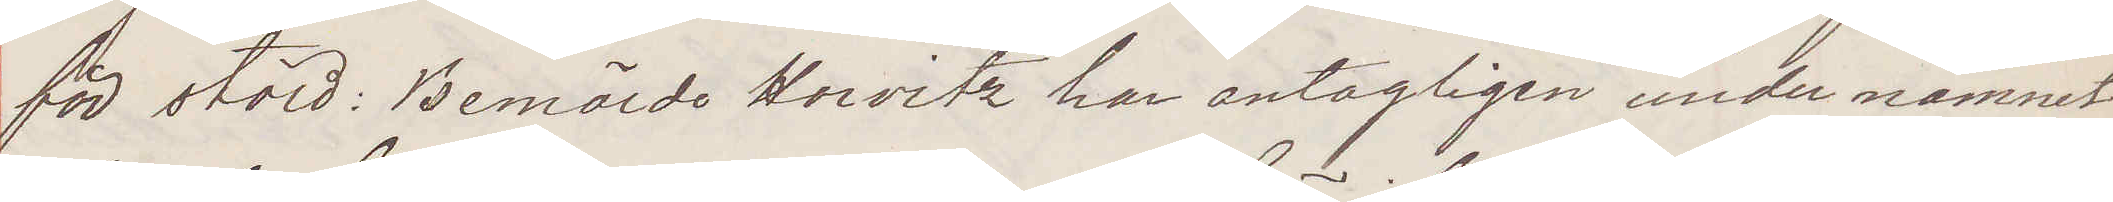för stöld: Bemälde Horvitzhar antagligen under namnet
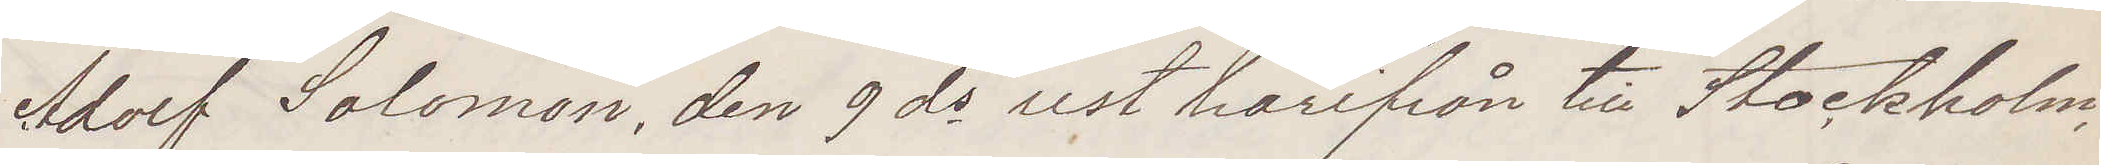Adolf Solomon, den 9 ds rest härifrån till Stockholm,
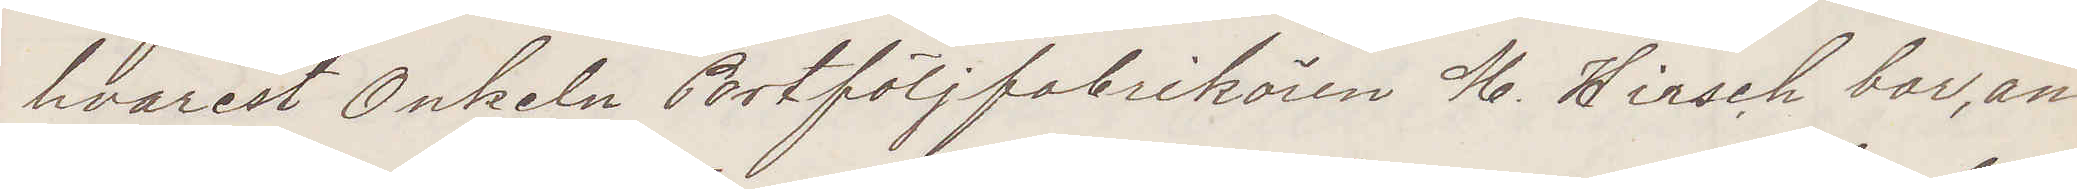hvarest Onkeln Portföljfabrikören M Hirsch bor, an¬
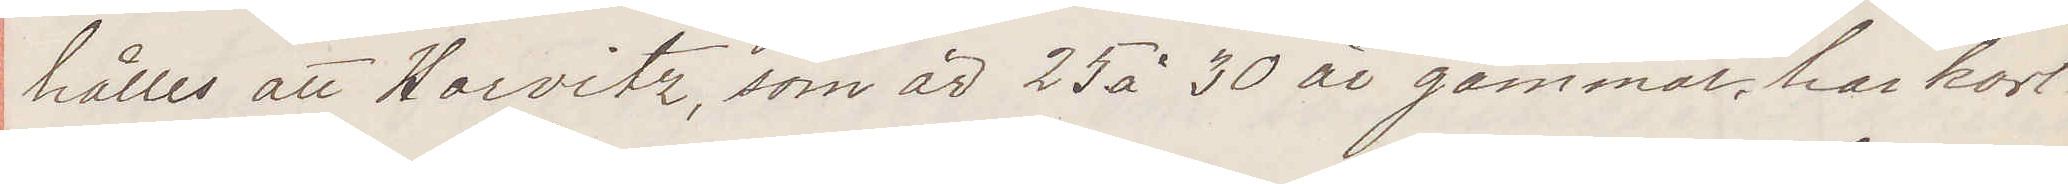hålles att Horvitz, som är 25 à 30 år gammal, har kort
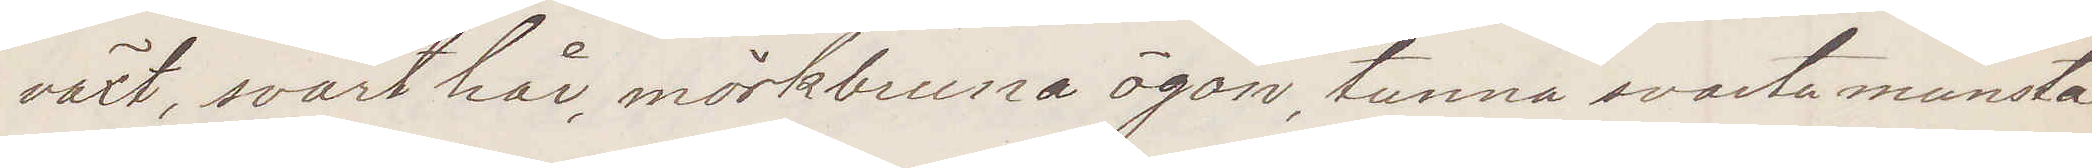växt, svart hår, mörkbruna ögon, tunna svarta munsta¬
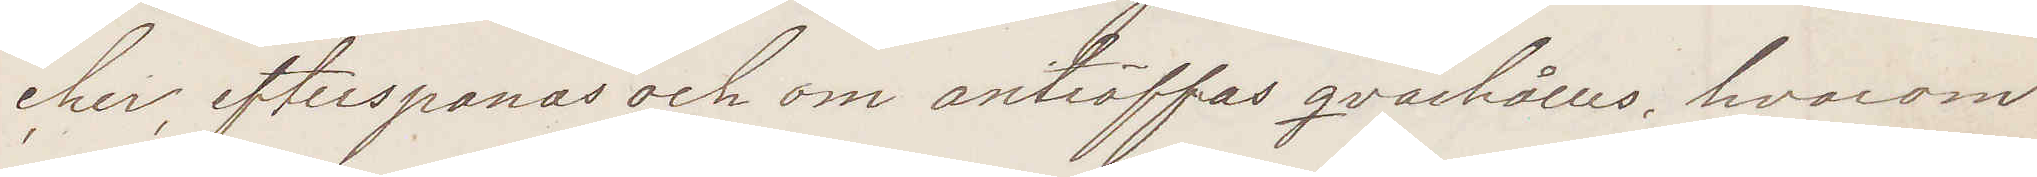cher, efterspanas och om anträffas qvarhålles, hvarom
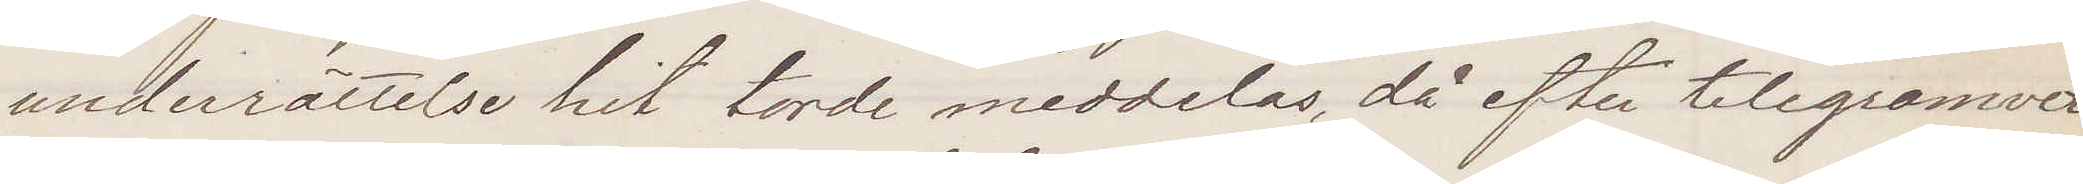underrättelse hit torde meddelas, då efter telegramvex¬
